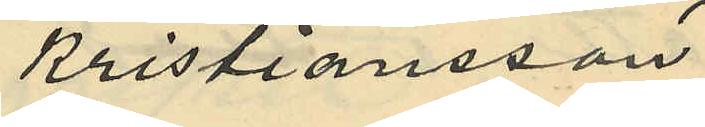Kristiansson
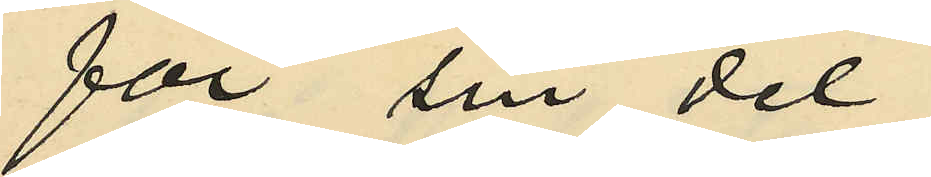för sin del
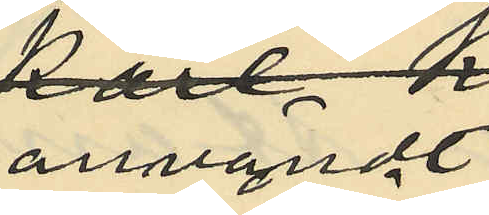användt
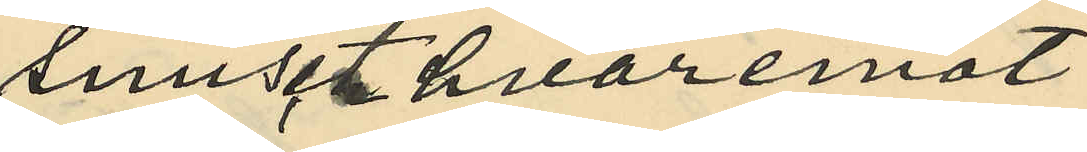snuset hvaremot
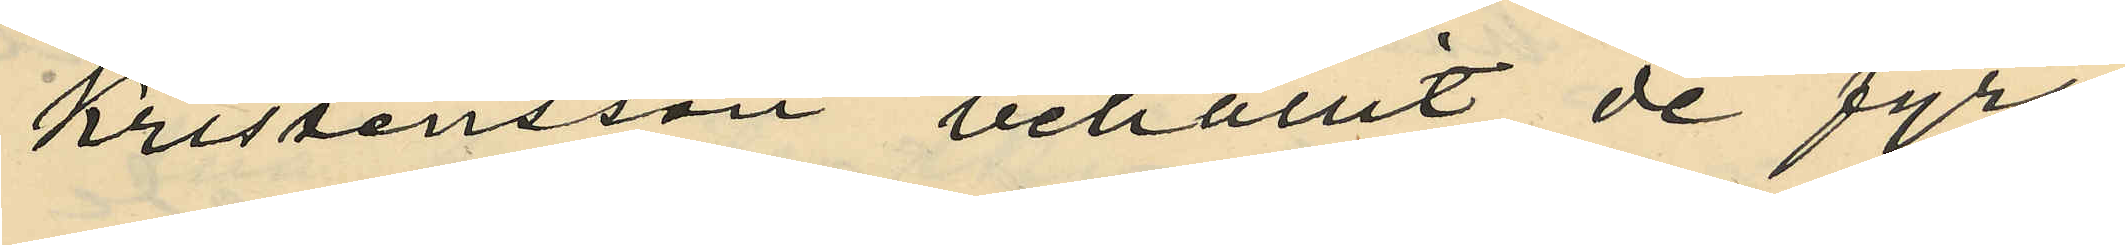Kristensson behållit de fyra
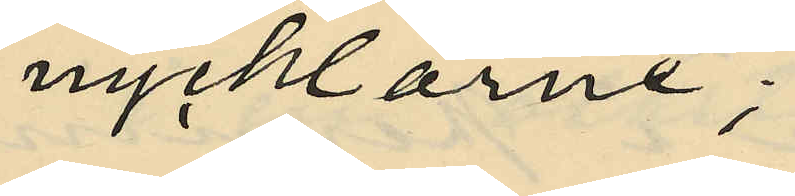nycklarne;
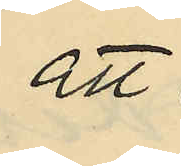att
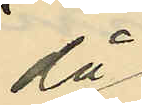då
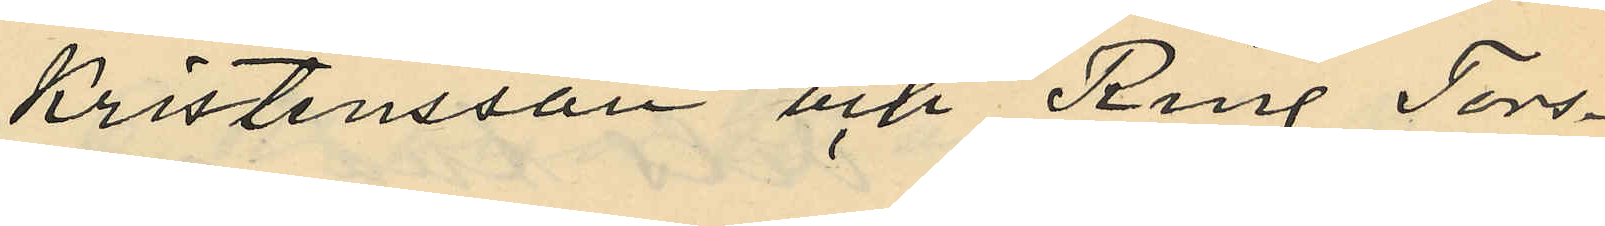Kristensson och Ring Tors¬
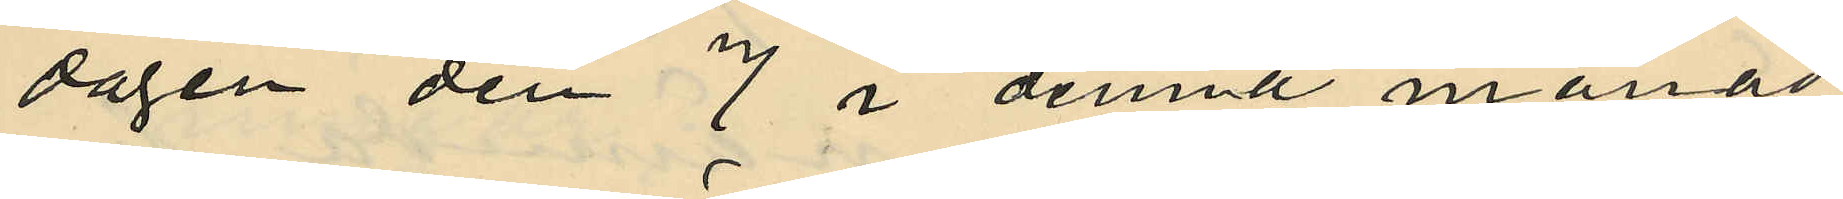dagen den 7 i denna månad
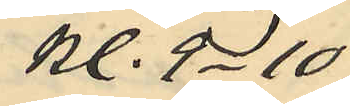kl. 9 - 10
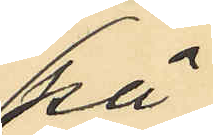på
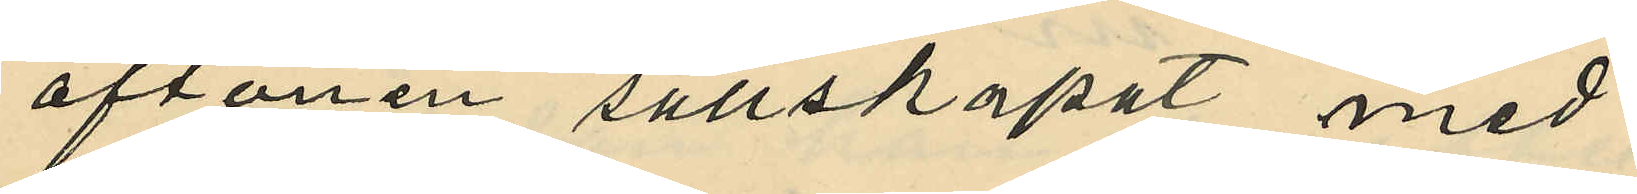aftonen sällskapat med
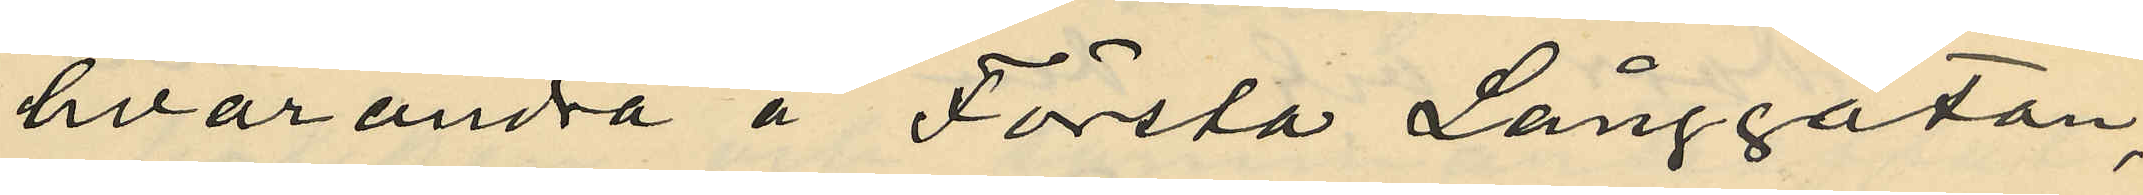hvarandra å Första Långgatan,
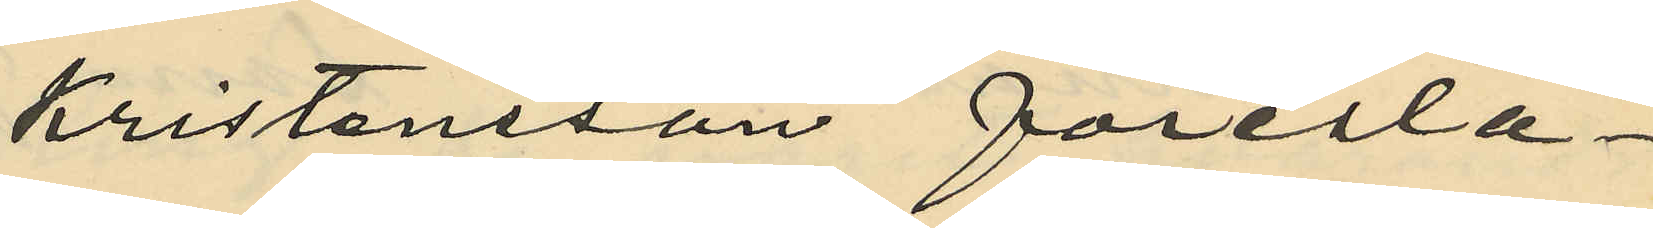Kristensson föresla¬
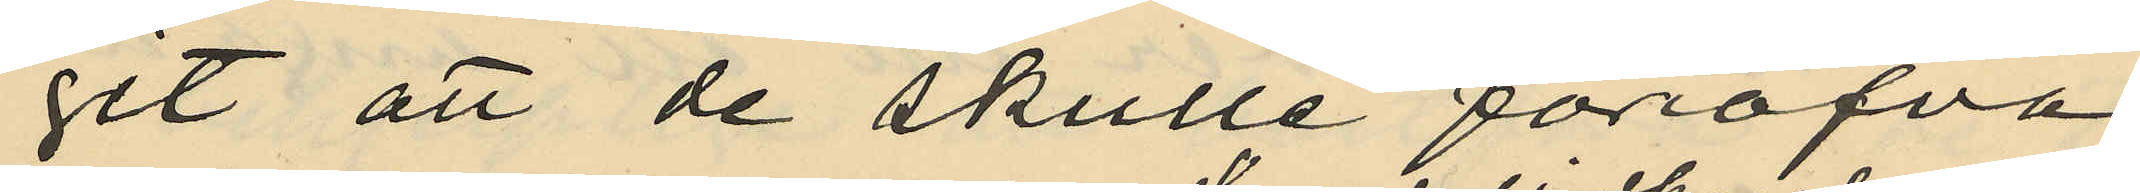git att de skulle föröfva
